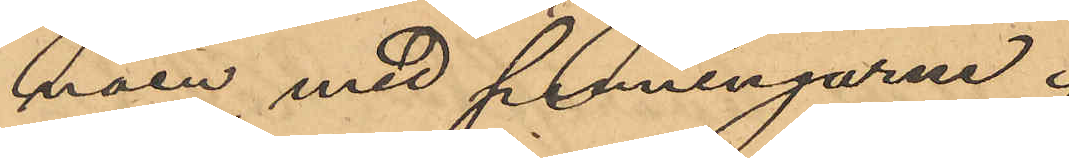näen med penningarne.
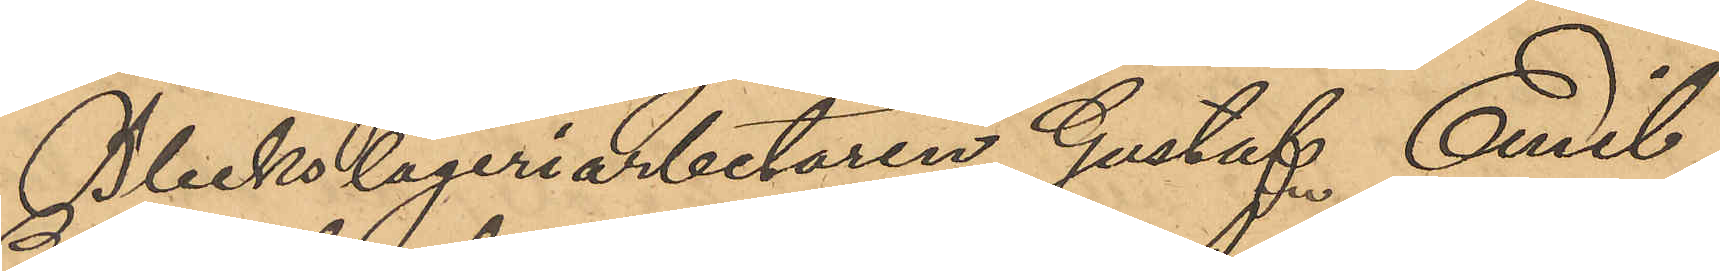Bleckslageriarbetaren Gustaf Emil
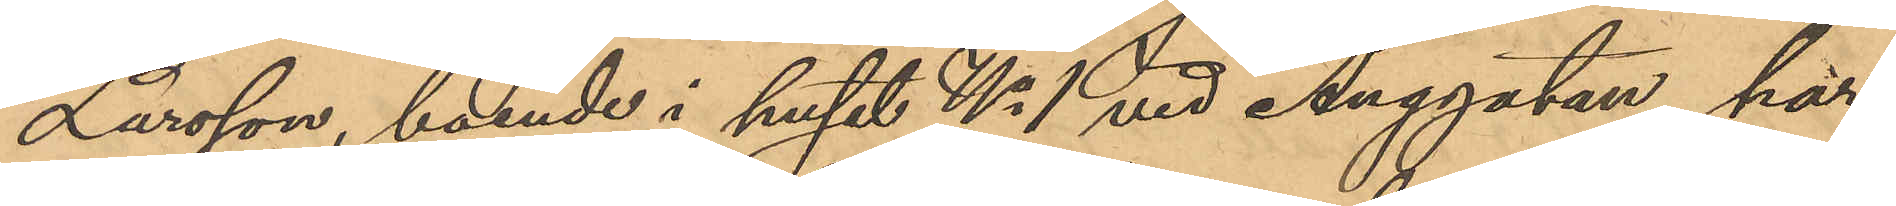Larsson, boende i huset No 1 vid Änggatan, har
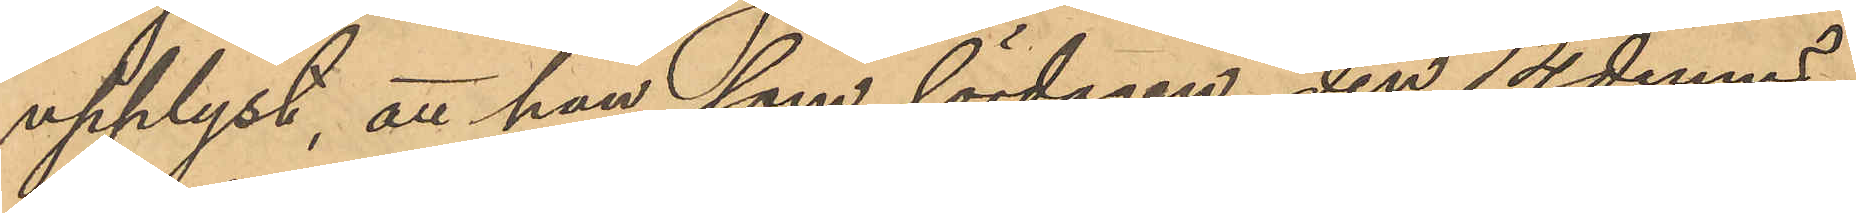upplyst, att han, som lördagen den 14 dennes
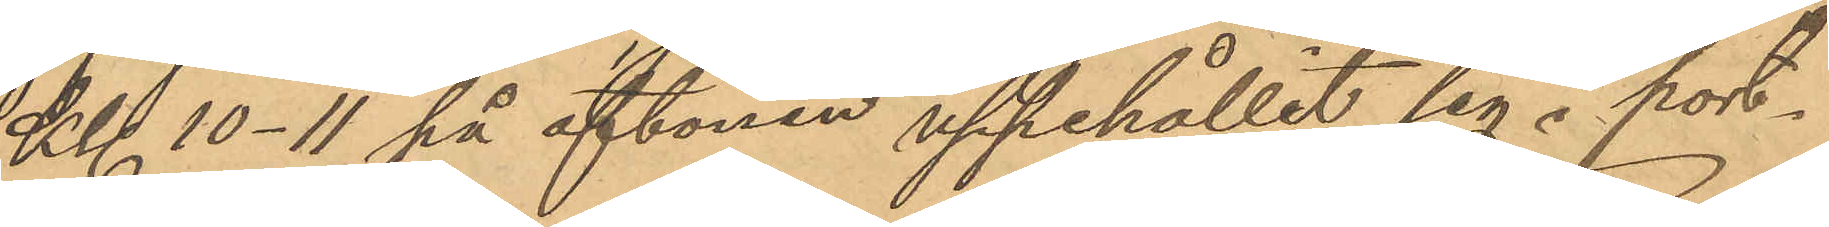Kll 10-11 på aftonen uppehållit sig i port¬
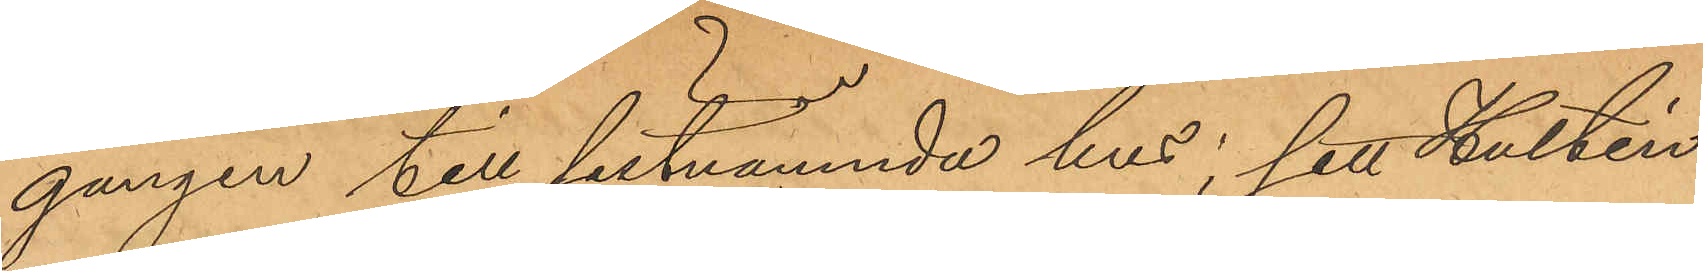gången till sistnämnda hus; sett Hultén
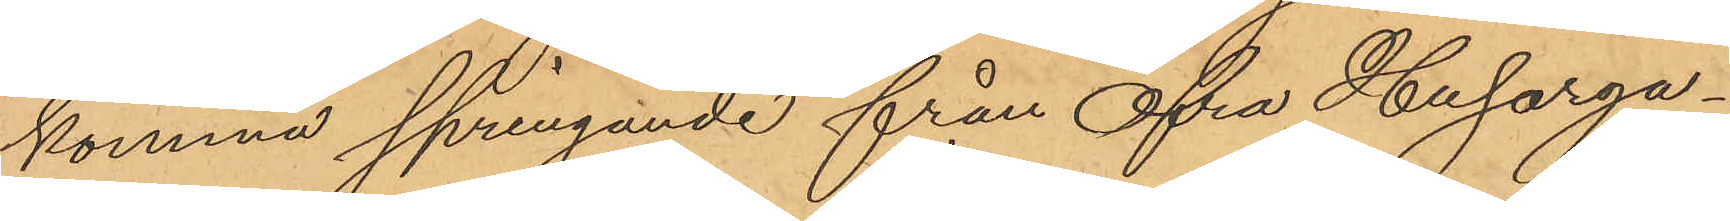komma springande från Öfra Husarga¬
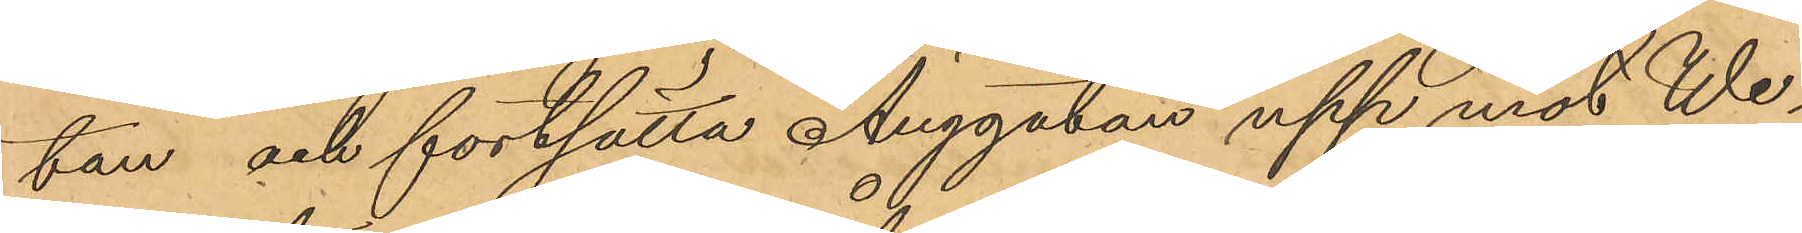tan och fortsätta Änggatan upp mot We¬
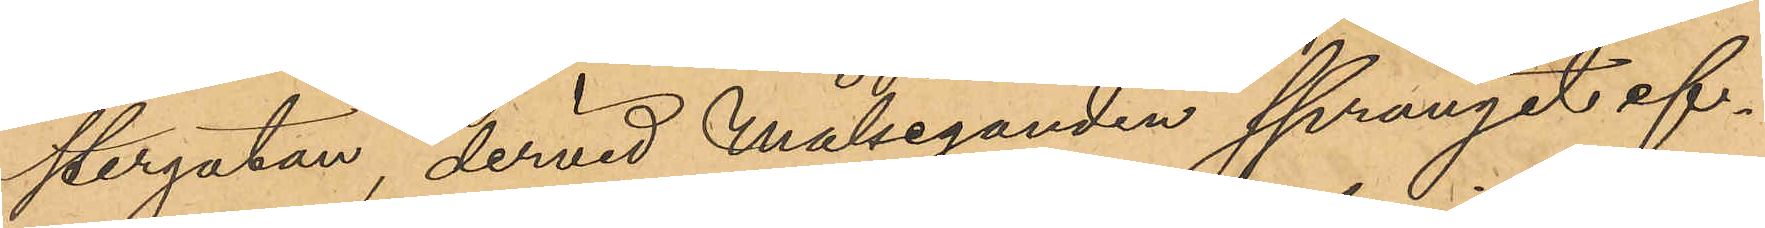stergatan, dervid Målseganden sprungit ef¬
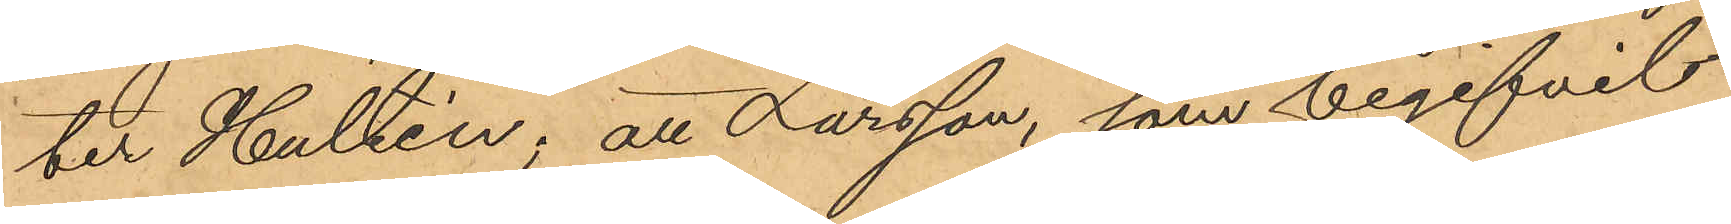ter Hultén; att Larsson, som begifvit
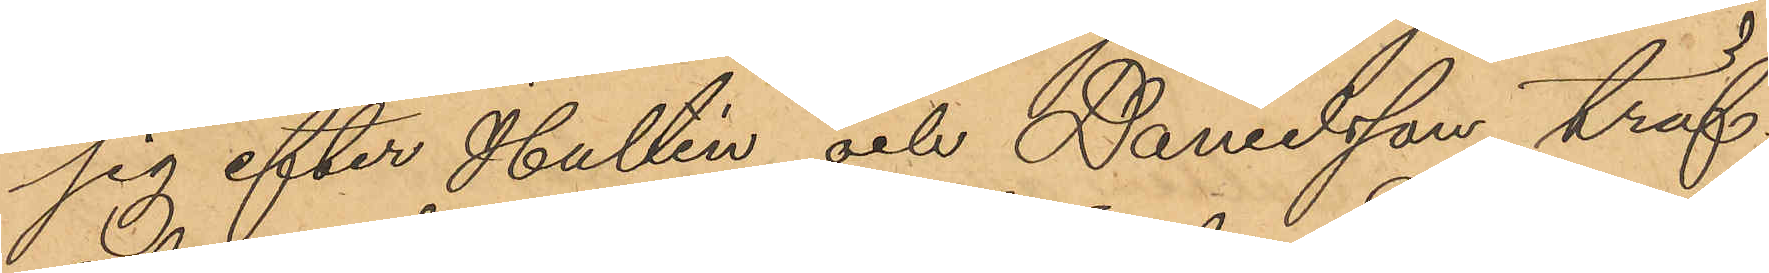sig efter Hultén och Danielsson, träf¬
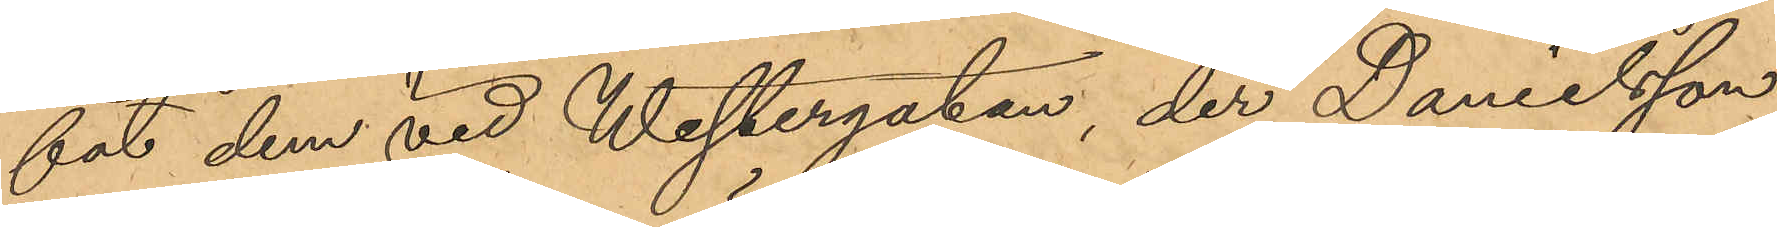fat dem vid Westergatan, der Danielsson
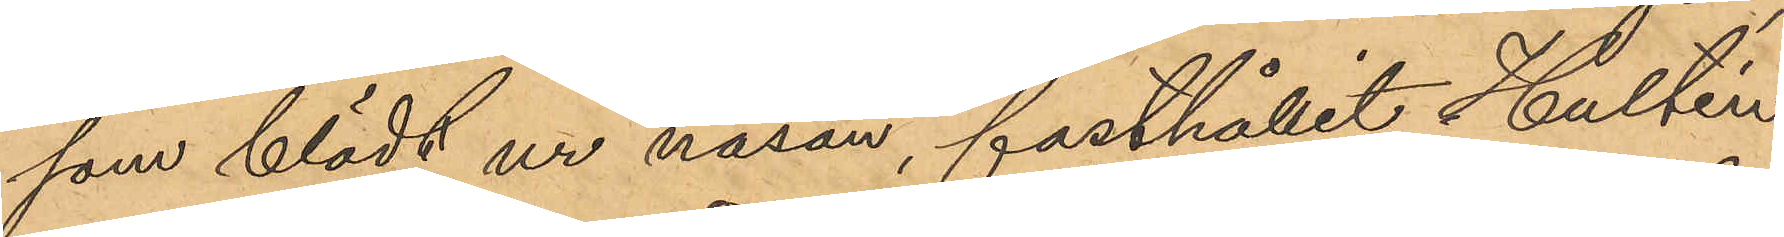som blödt ur näsan, fasthållit Hultén
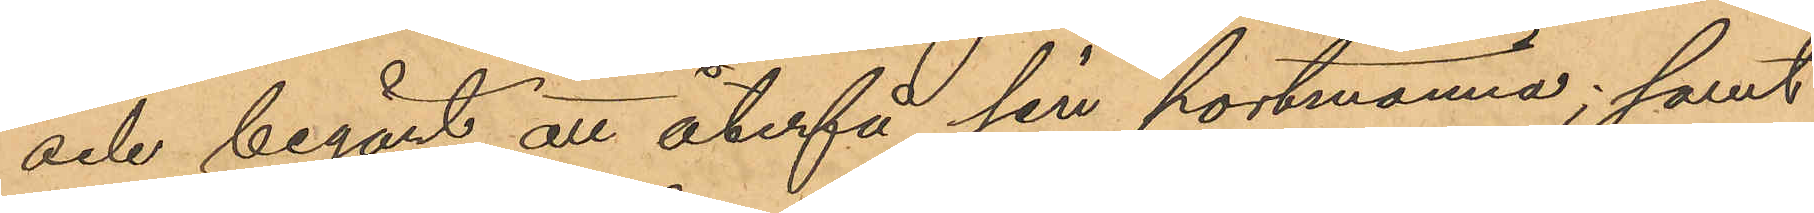och begärt att återfå sin portmonnä; samt
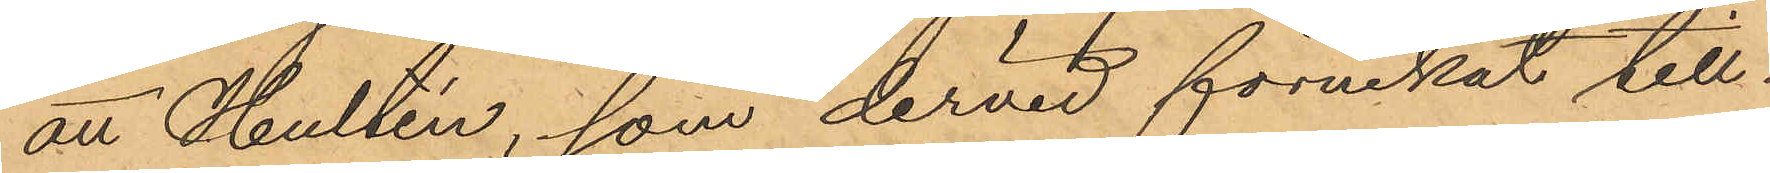att Hultén, som dervid förnekat till¬
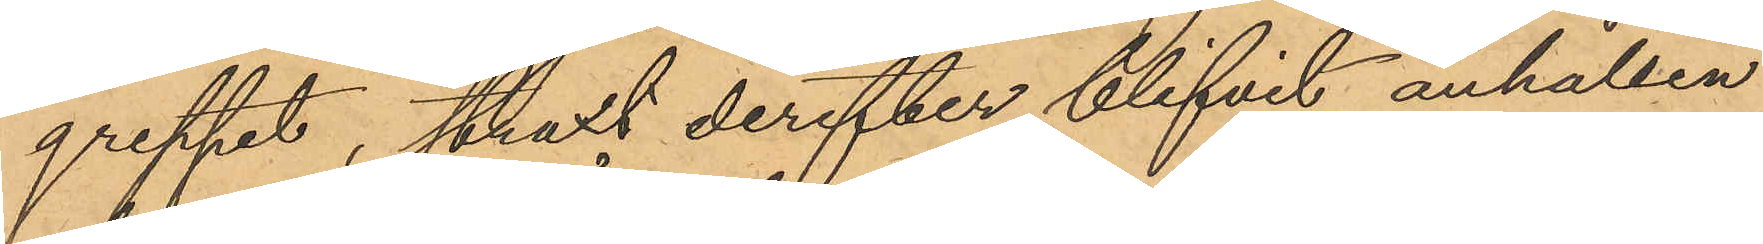greppet, straxt derefter blifvit anhållen
